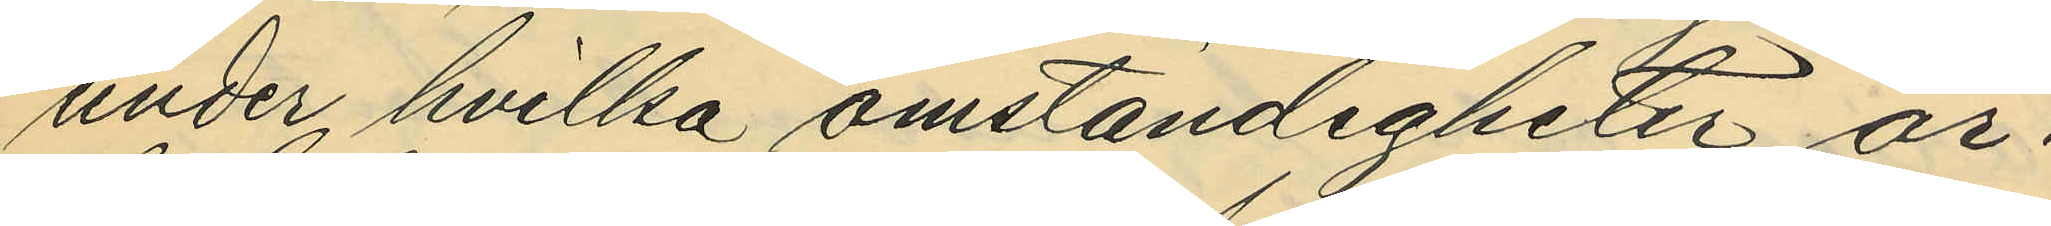under hvilka omständigheter ar¬
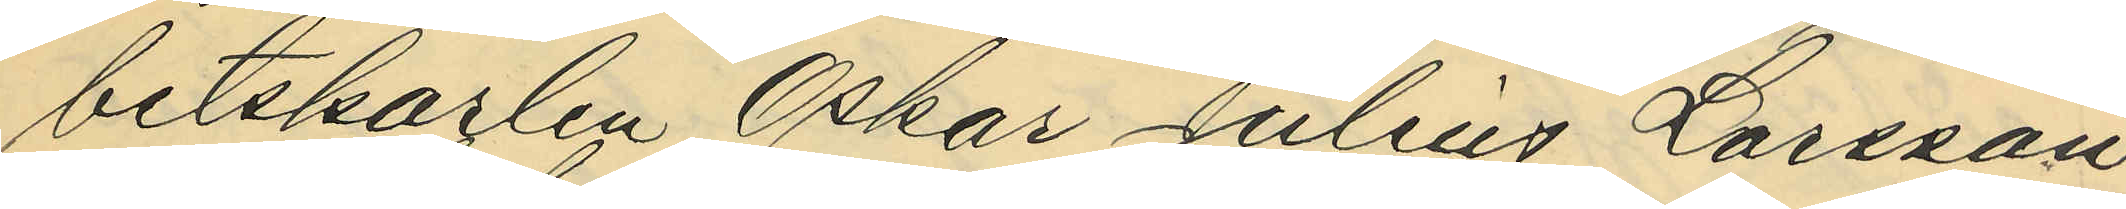betskarlen Oskar Julius Larsson
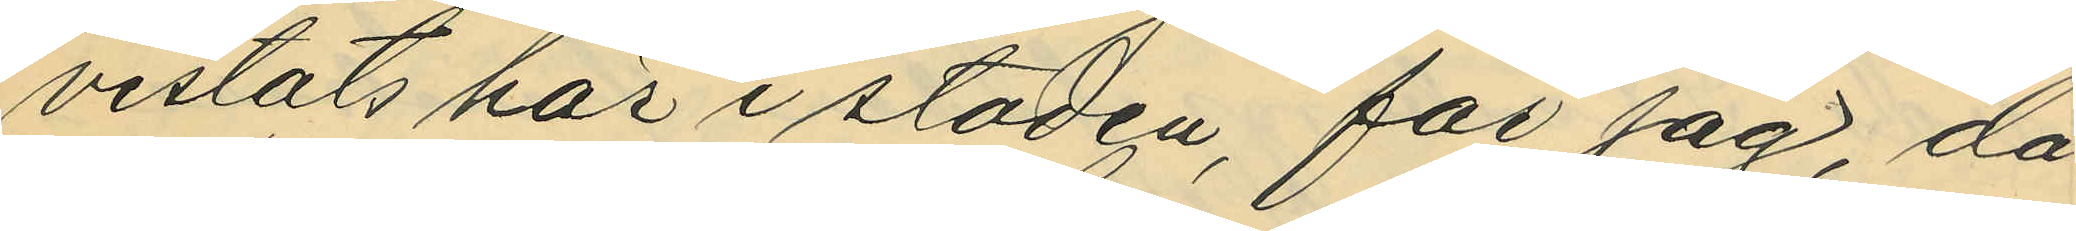vistats här i staden, får jag, då
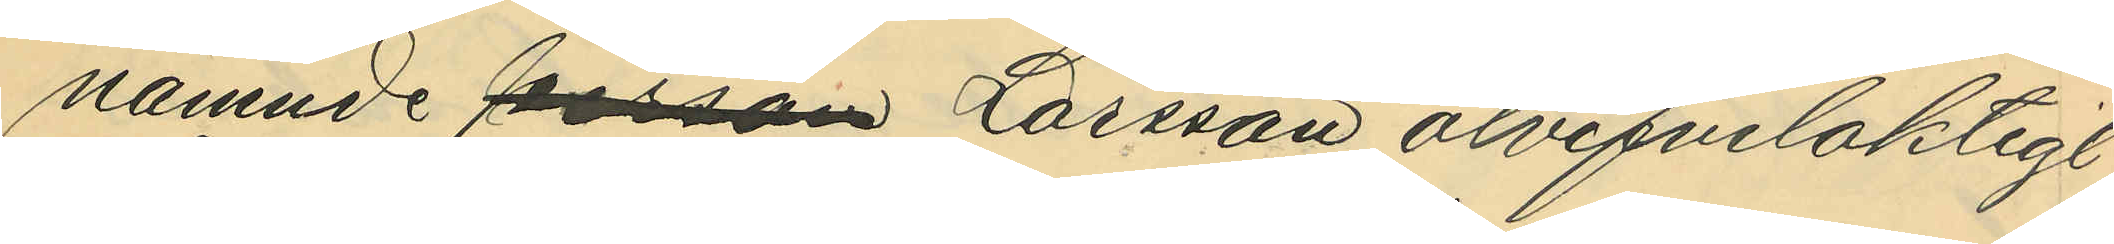nämnde person Larsson otvifvelaktigt
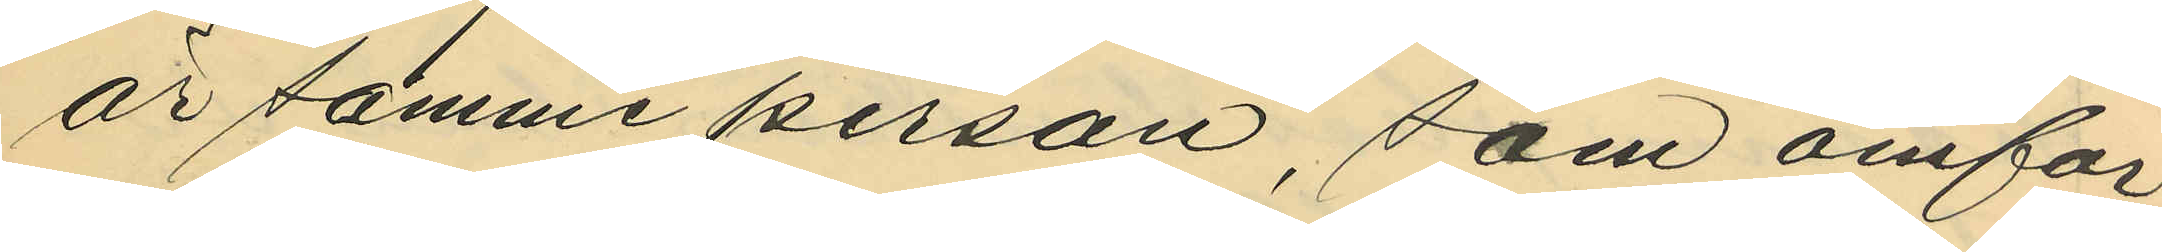är samma person, som omför¬
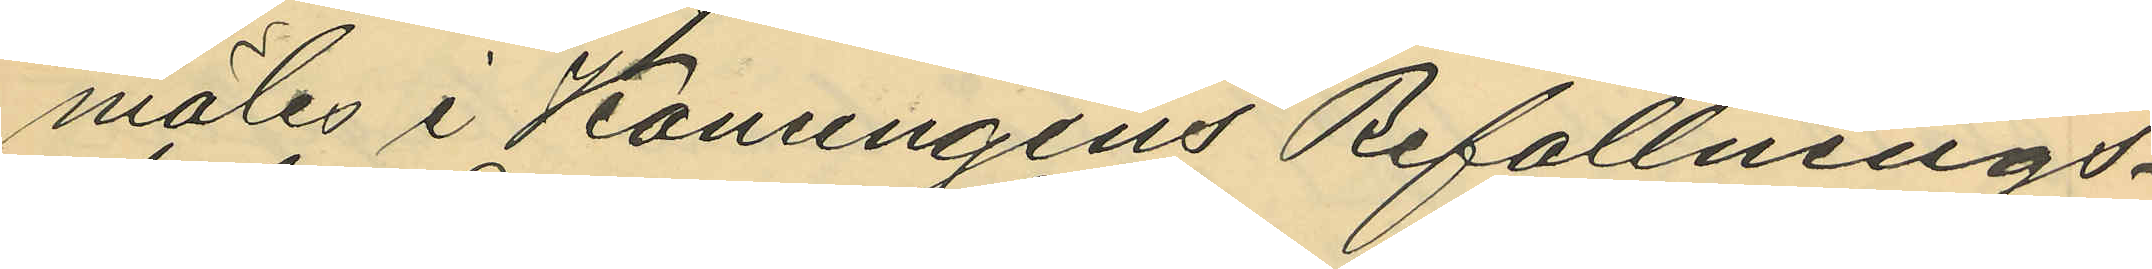mäles i Konungens Befallnings¬
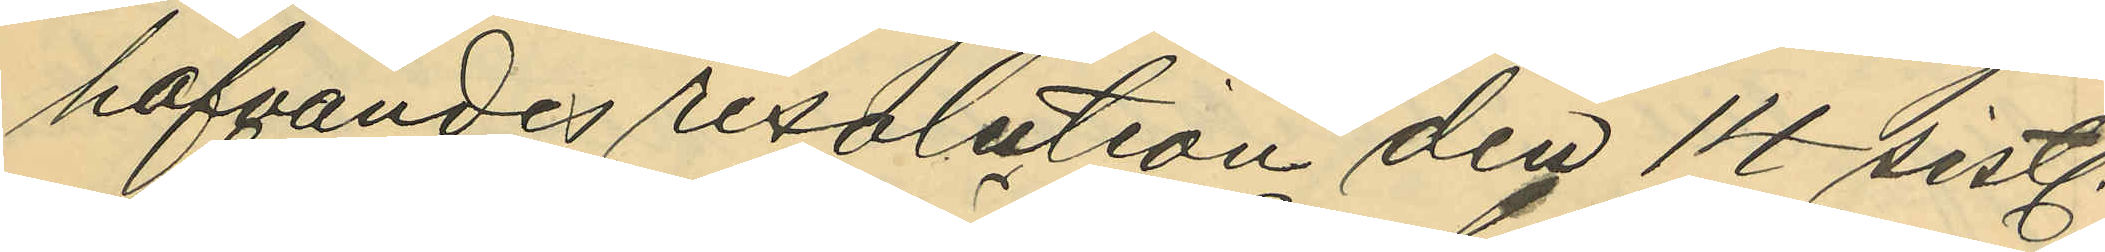hafvandes resolution den 14 sistl.
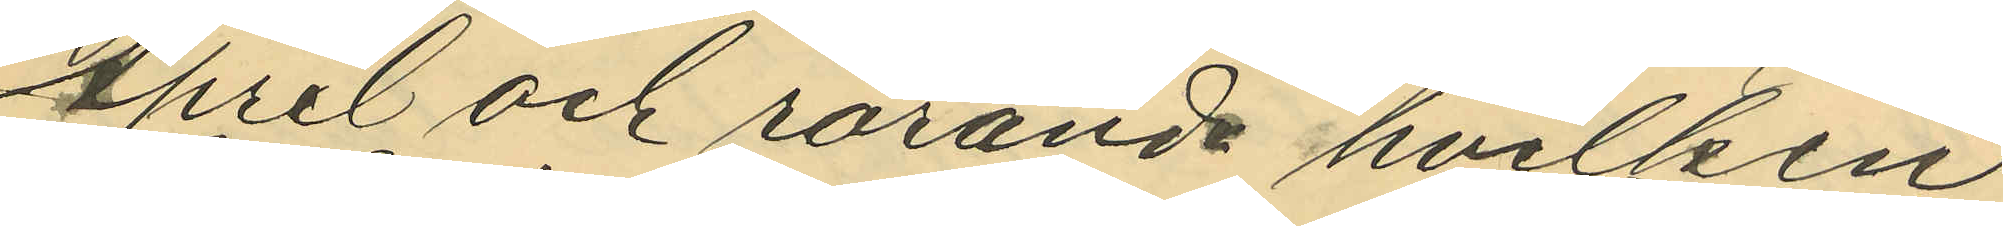April och rörande hvilken
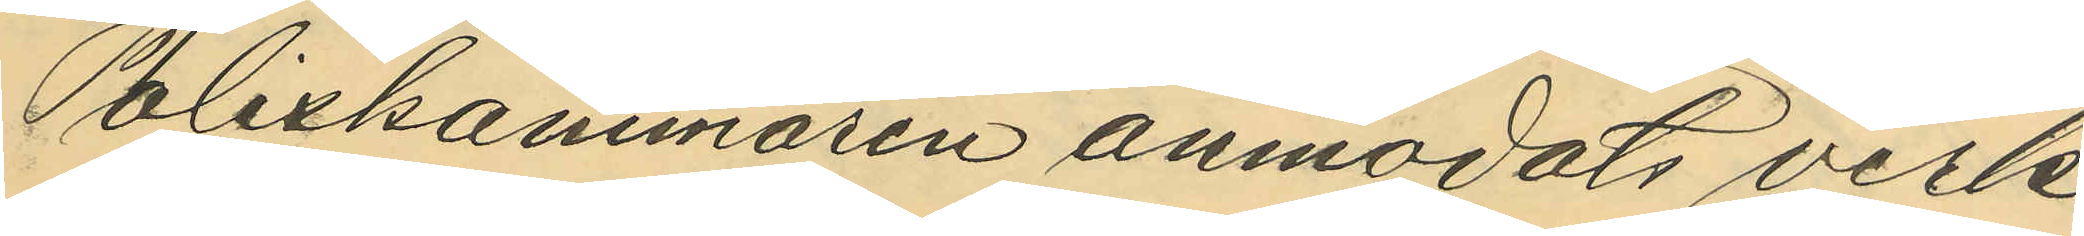Poliskammaren anmodats verk¬
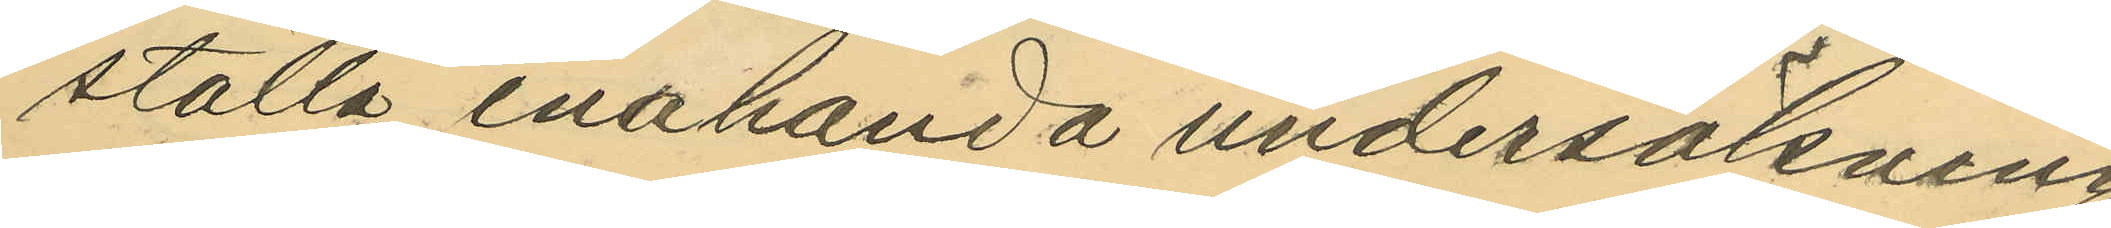ställa enahanda undersökning
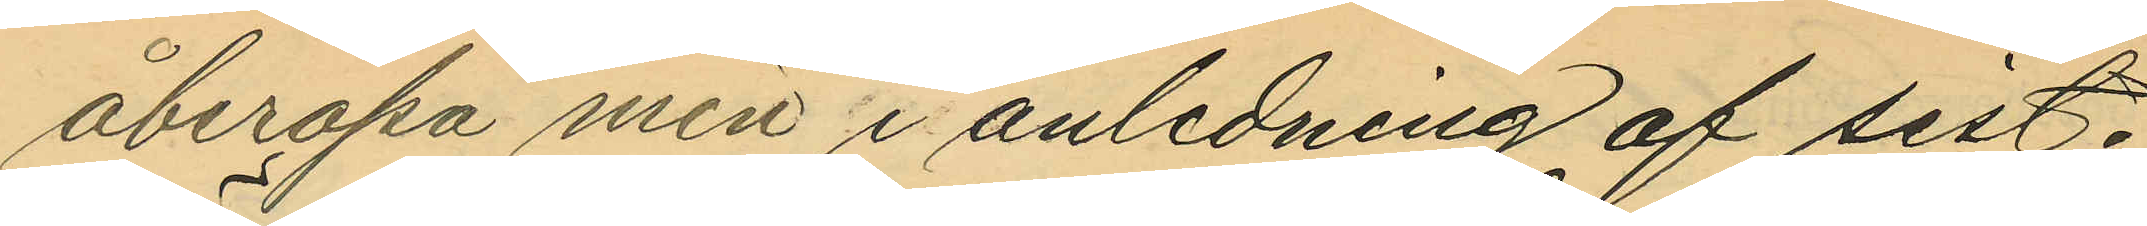åberopa min i anledning af sist¬
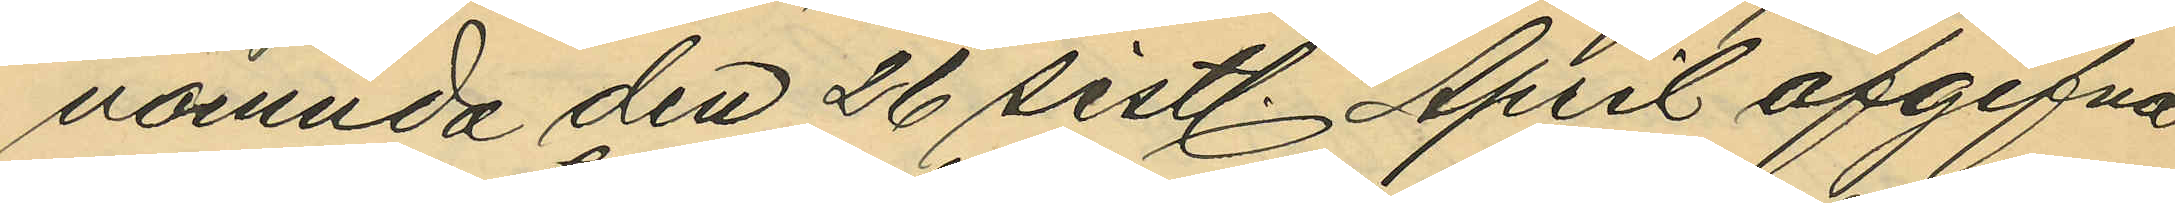nämnda den 26 sistl. April afgifna
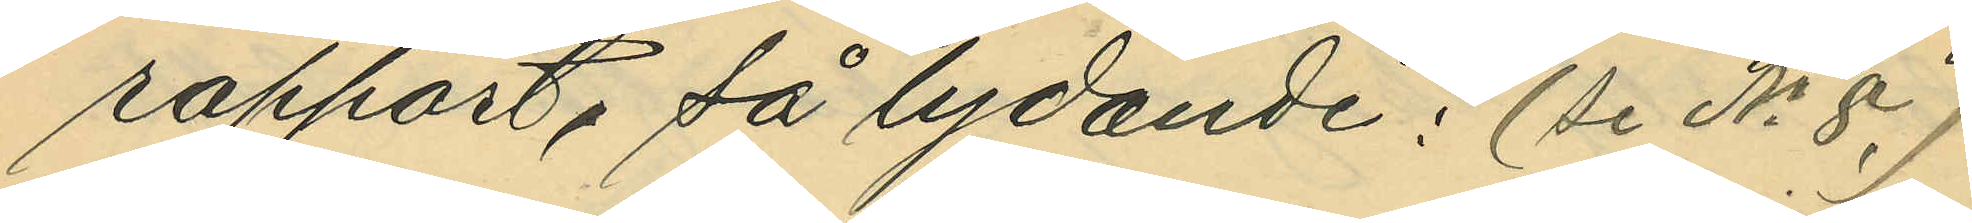rapport, så lydande: (Se No 8.)
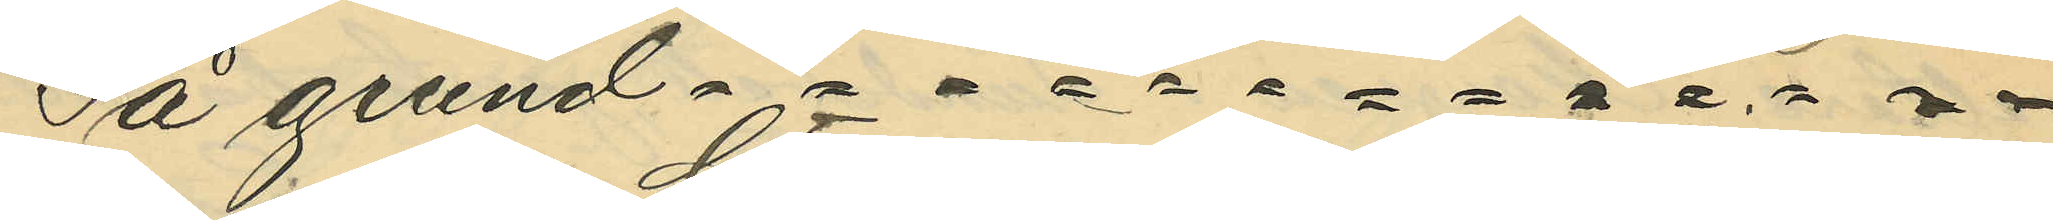På grund af = = = = = = = = = = = = =
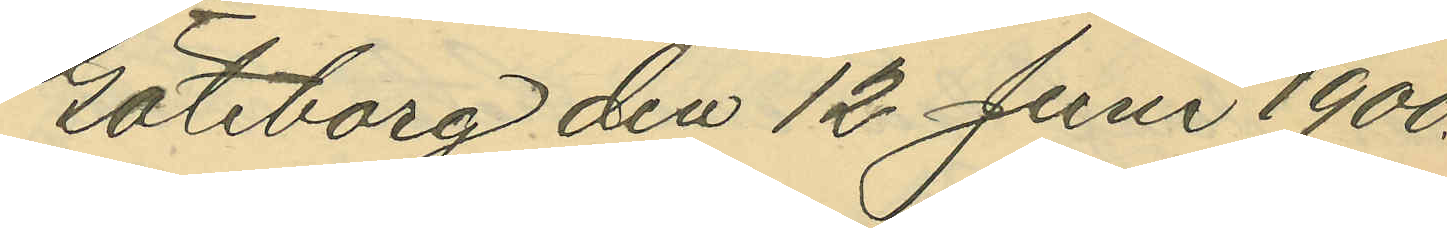Göteborg den 12 Juni 1900.
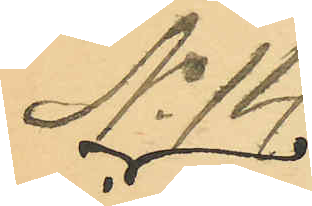No 14.
